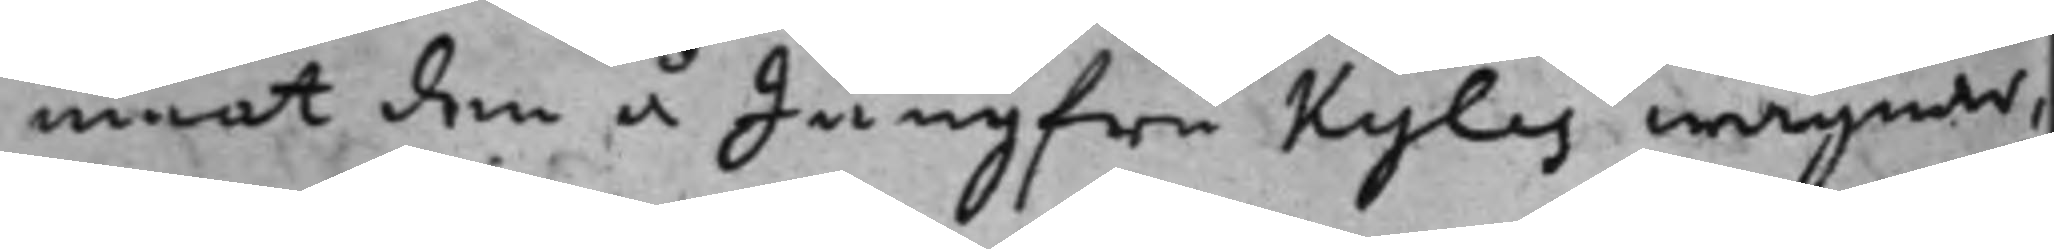mnat den å Jungfru Kyles wägnar,
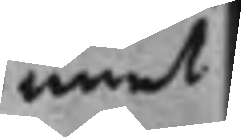emot
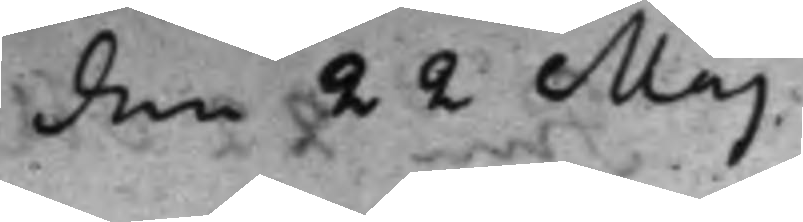den 22 Maj
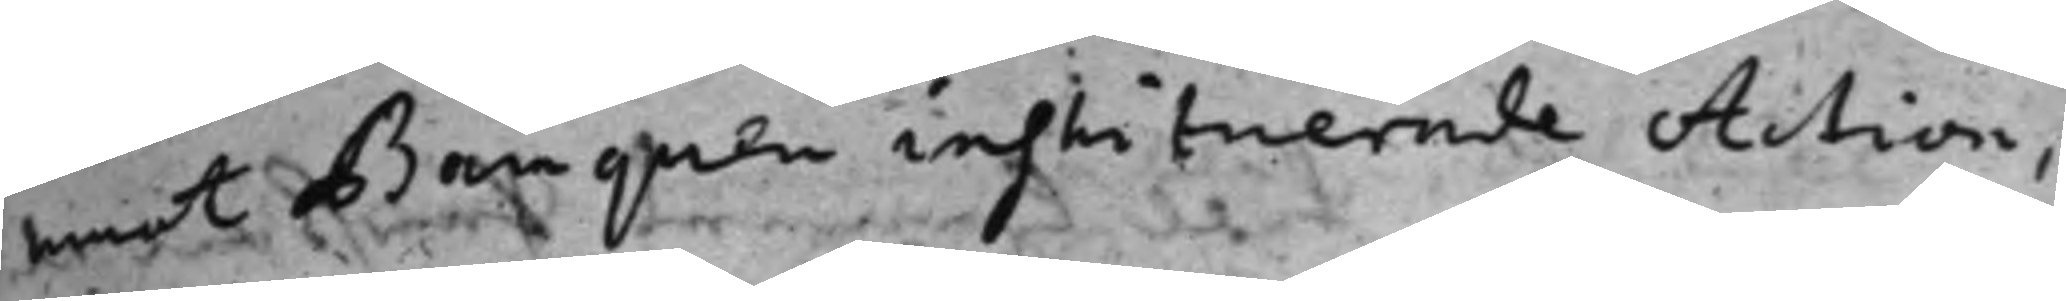emot Banquen instituerade Action,
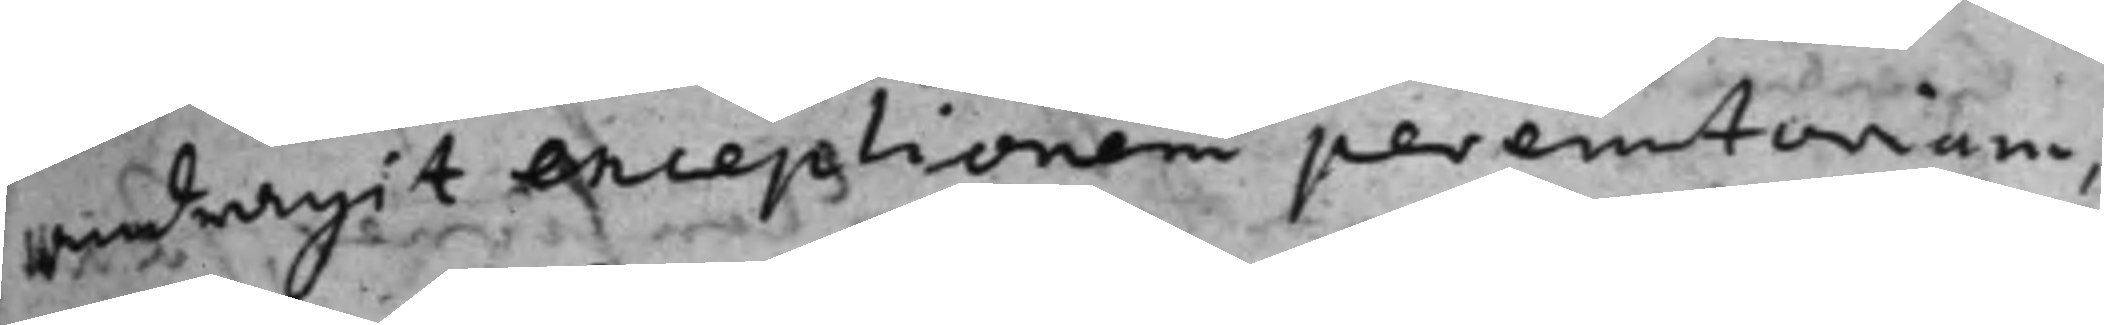andragit exceptionen peremtoriam,
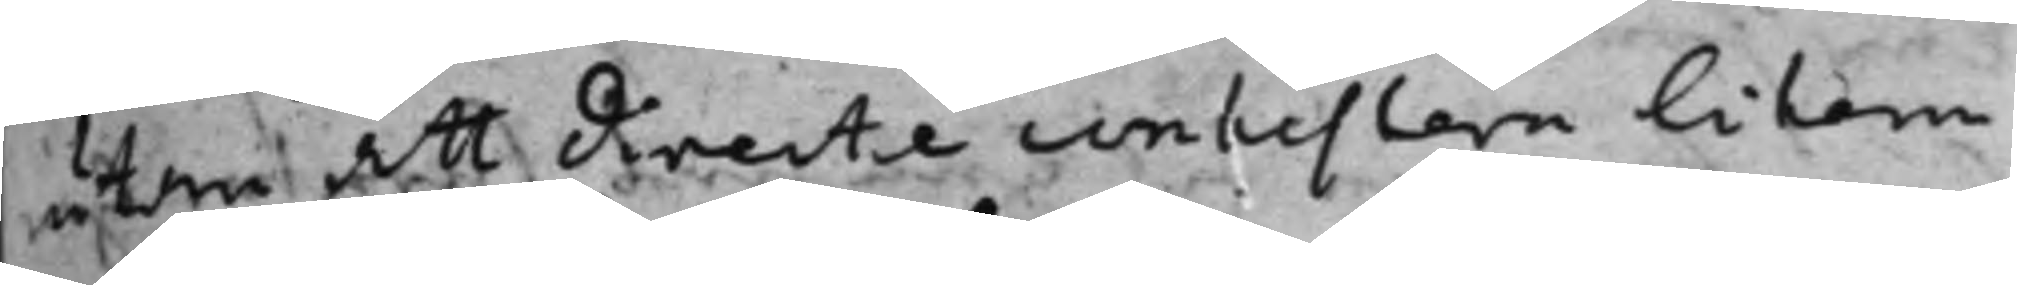utan att directe contestera likom
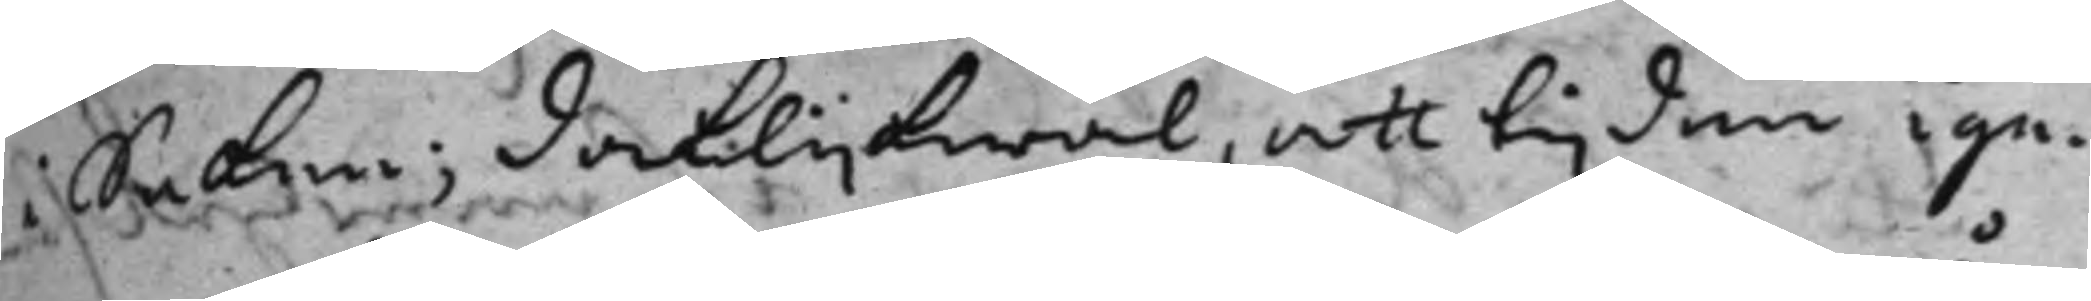i Saken; Dock lijkwäl, att tijden ige¬
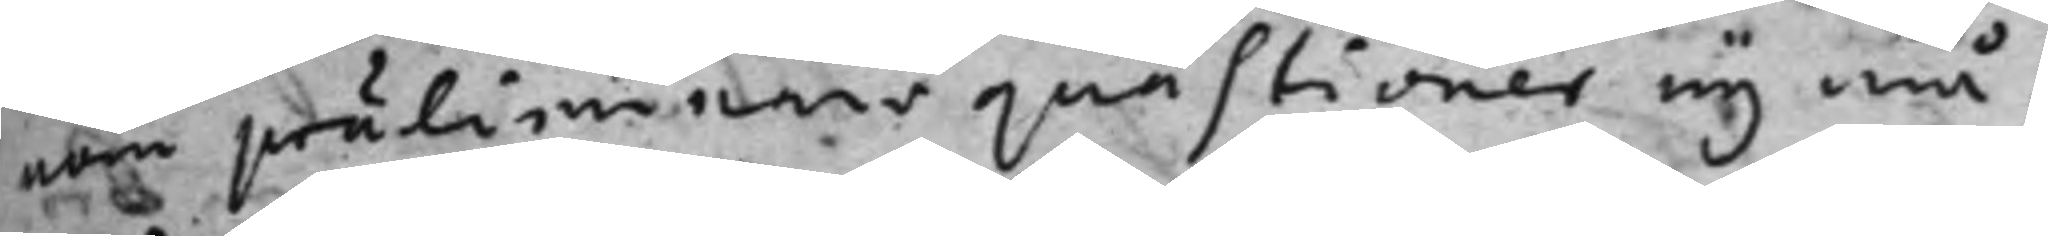nom präliminaris qvästioner ej må
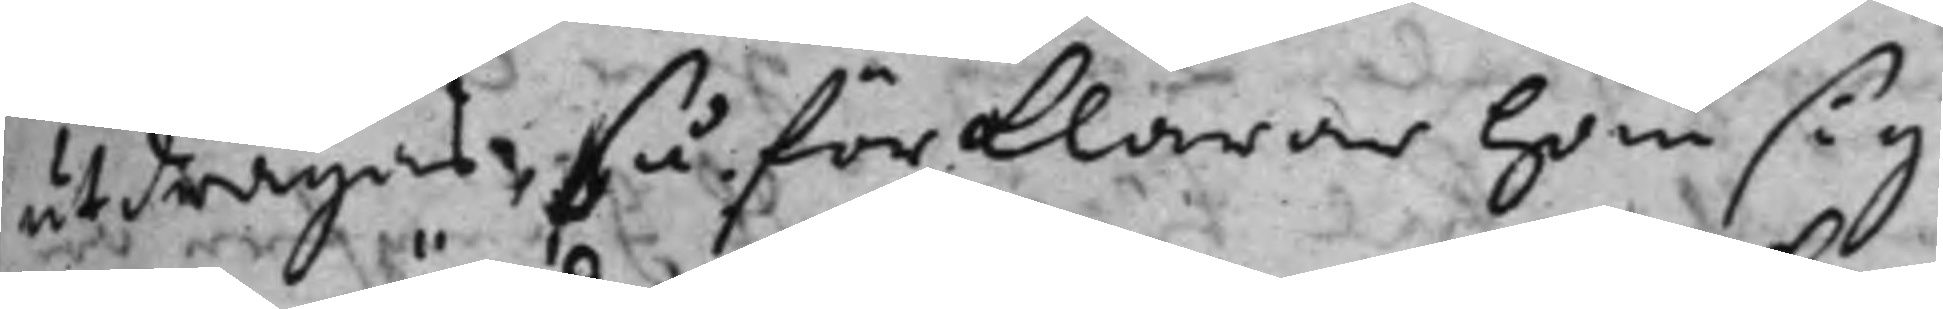utdragas; så förklarar hon sig
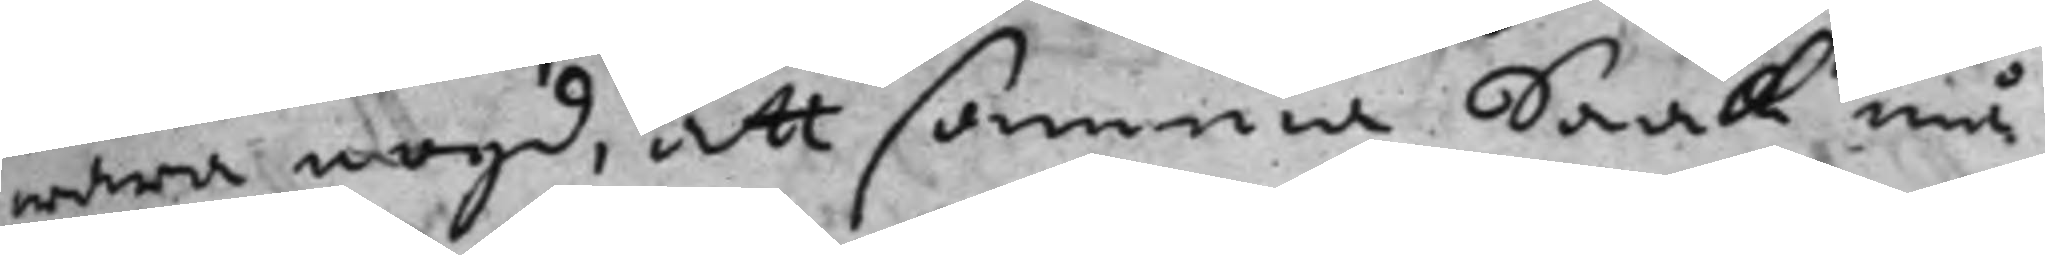wara nögd, att samma Saak må
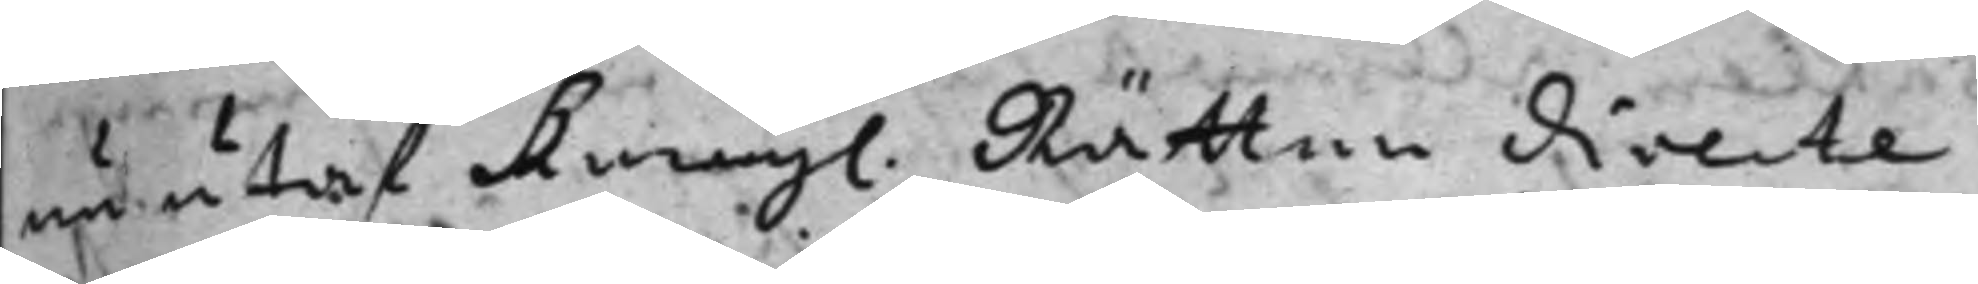nu utaf Kongl. Rätten directe
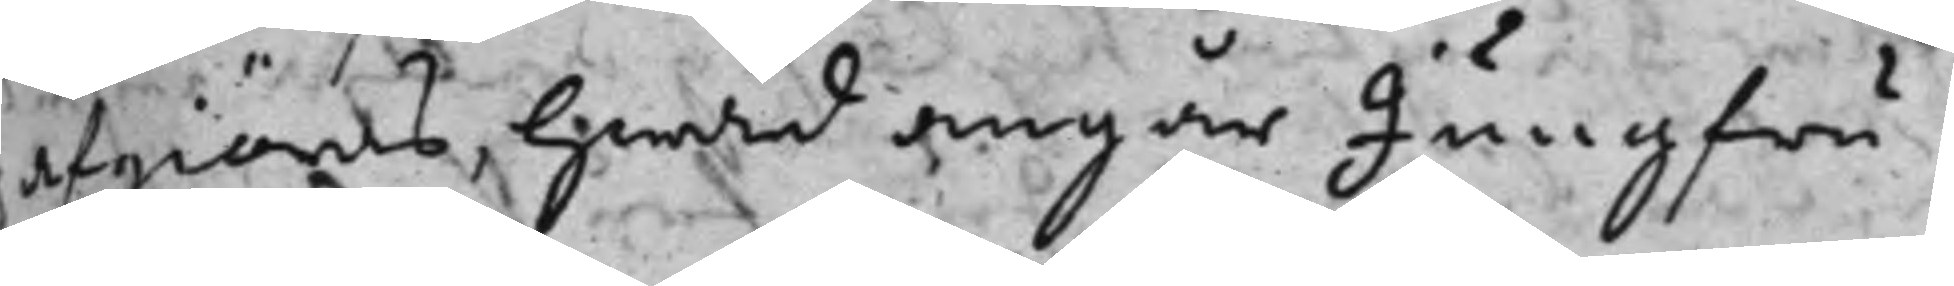afgiöras, hwad angår Jungfru
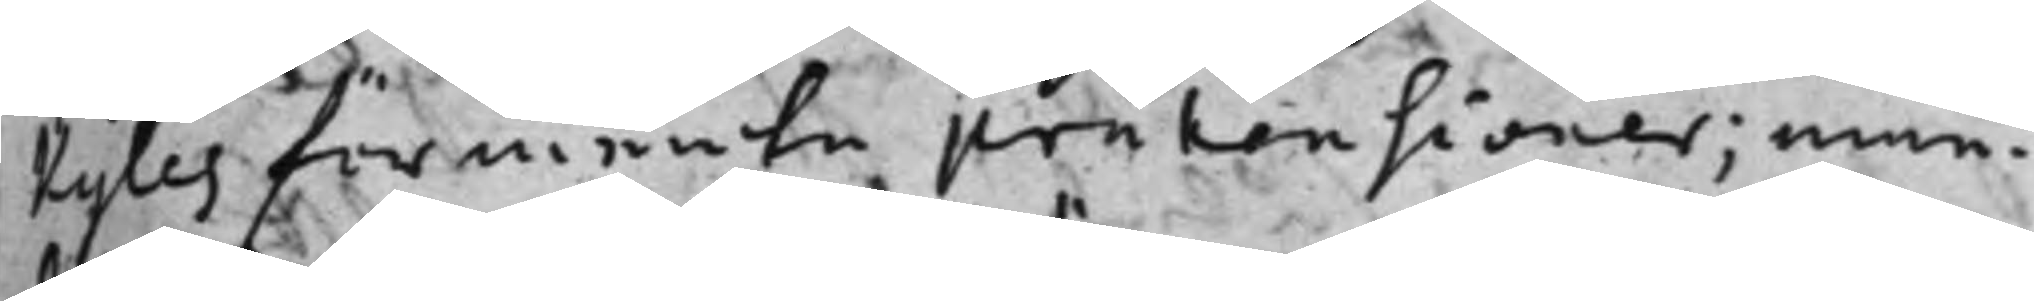Kyles förmente prätensioner; eme¬
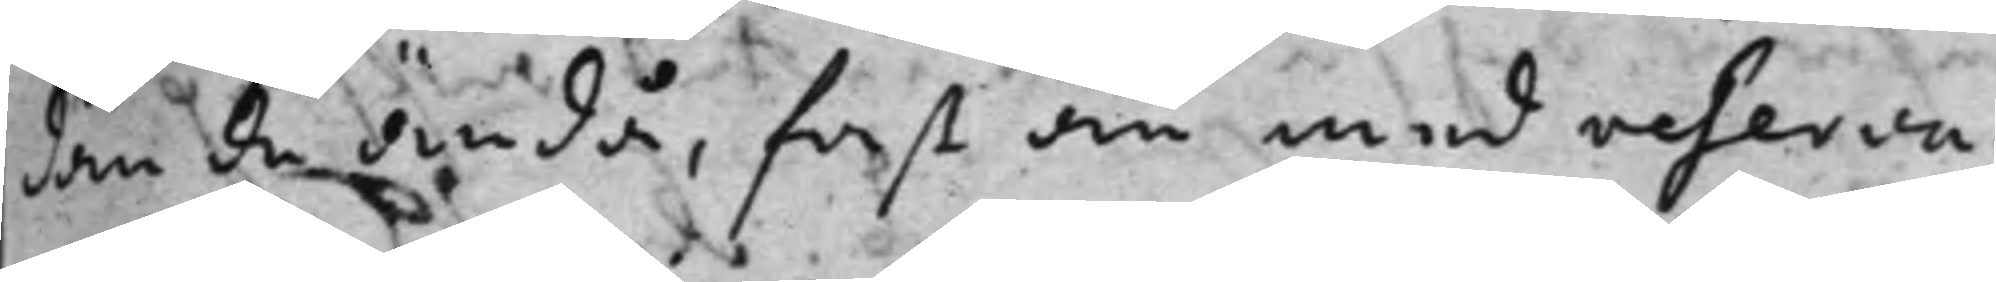dan de ändå, fast än med reserva¬
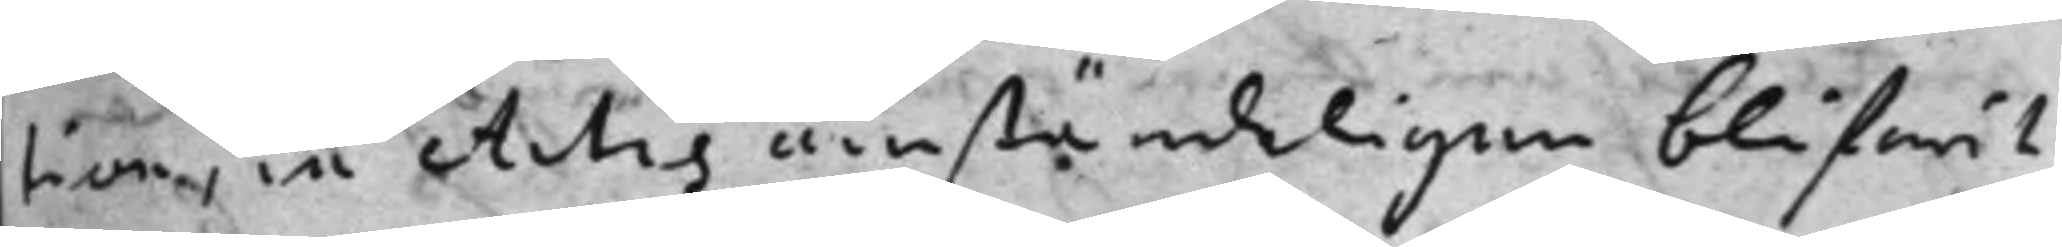tion, in Actis anständeligen blifwit
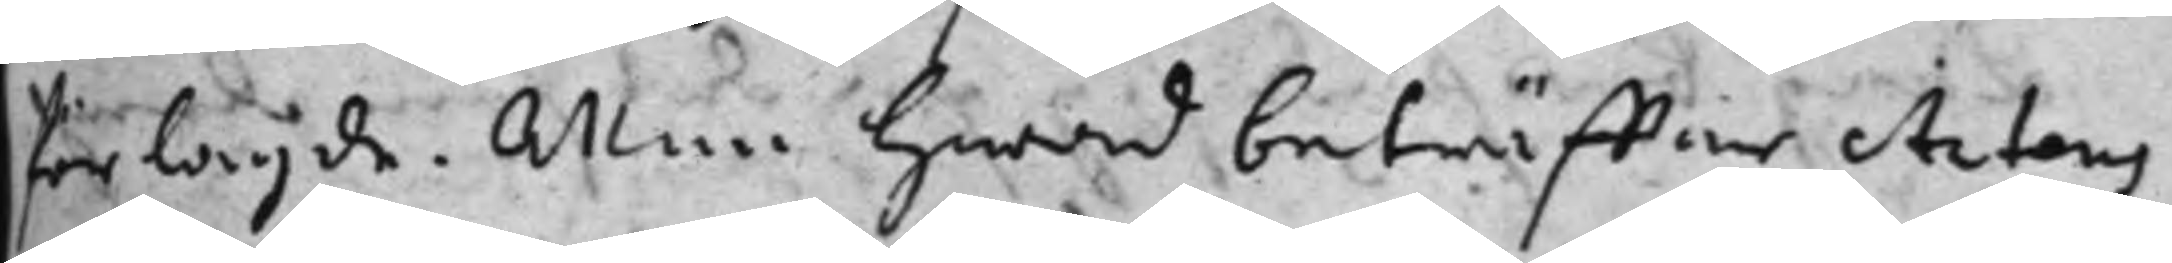förlagde. Men hwad beträffar Actens
